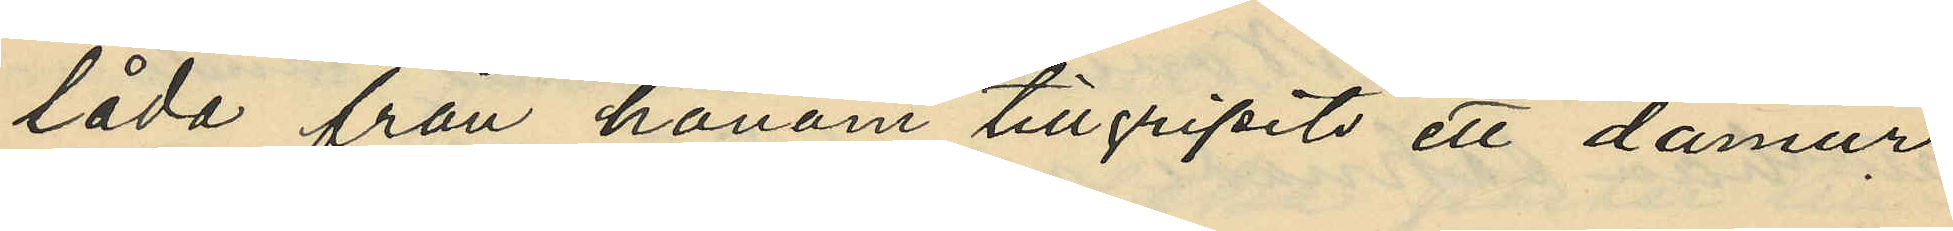låda från honom tillgripits ett damur
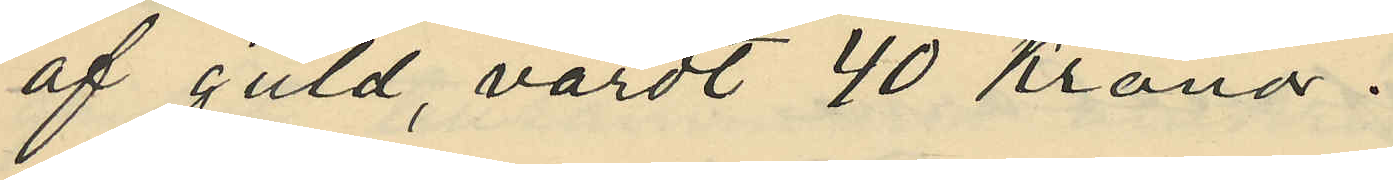af guld, värdt 40 Kronor.
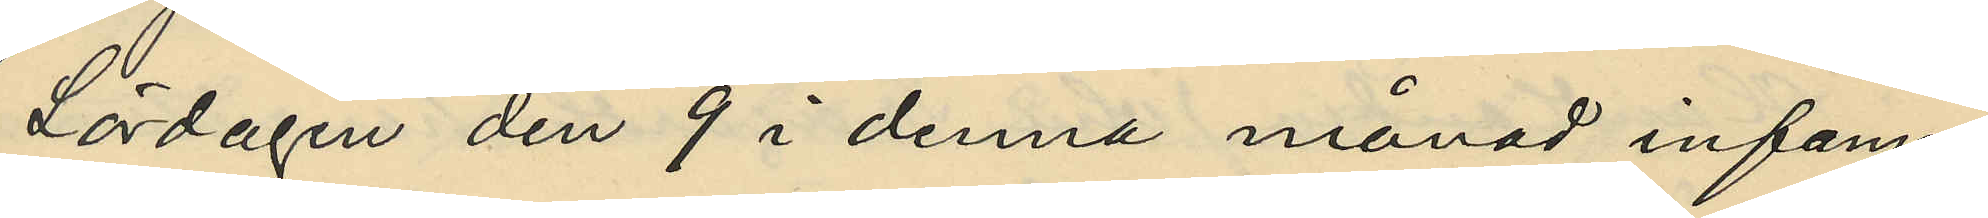Lördagen den 9 i denna månad infann
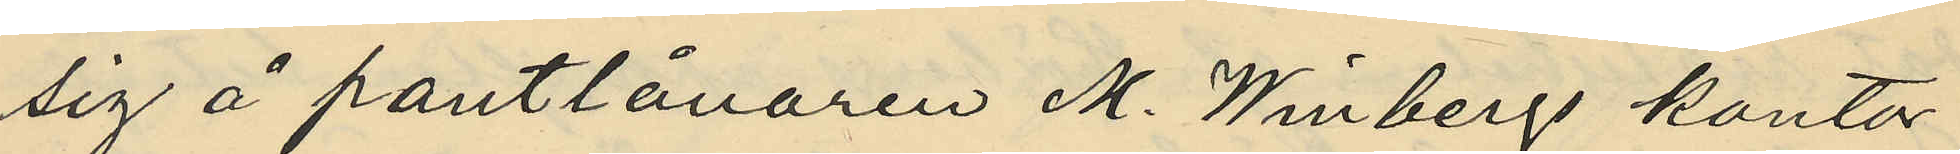sig å pantlånaren M. Winbergs kontor
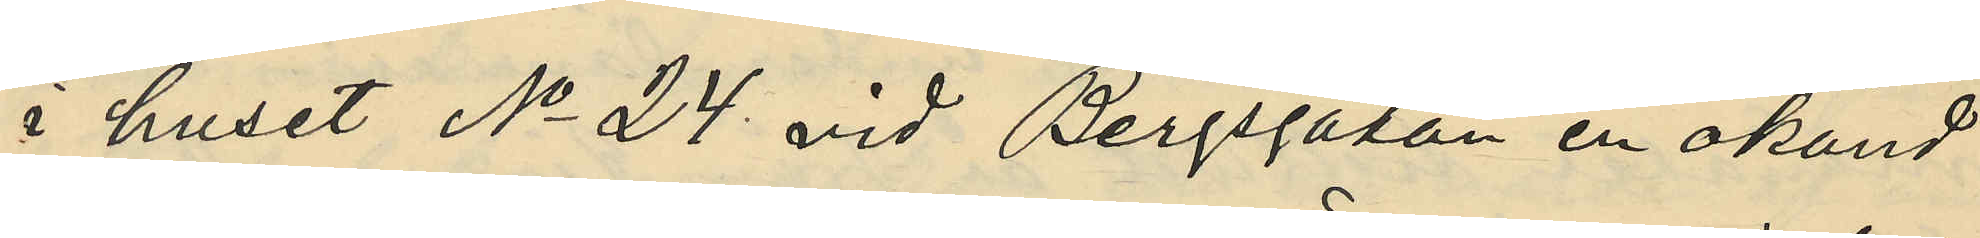i huset No 24 vid Bergsgatan en okänd
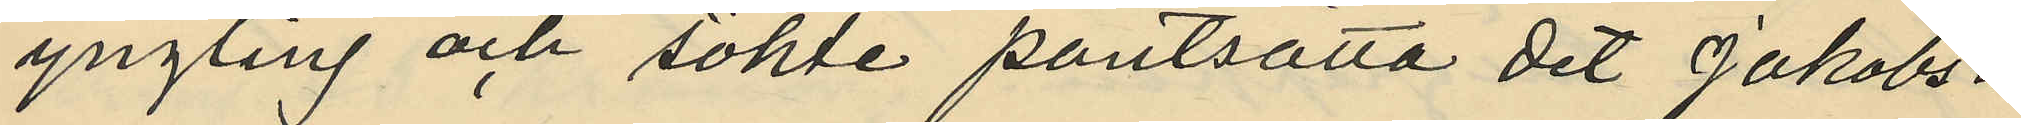yngling och sökte pantsätta det Jakobs¬
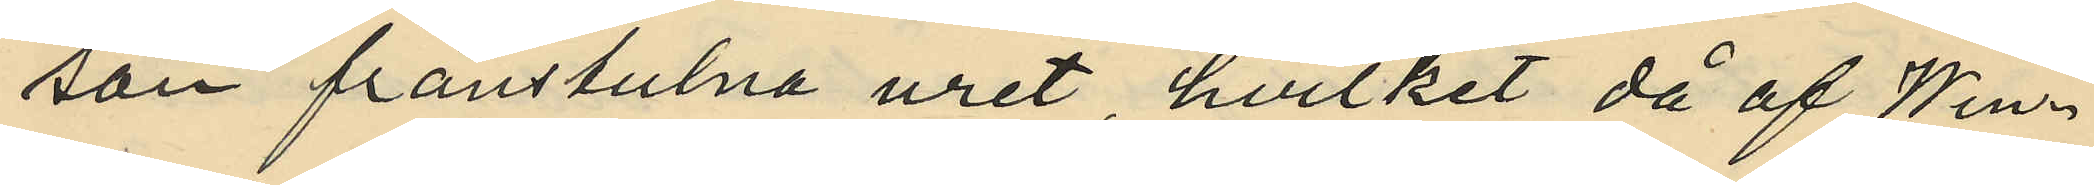son frånstulna uret, hvilket då af Win¬
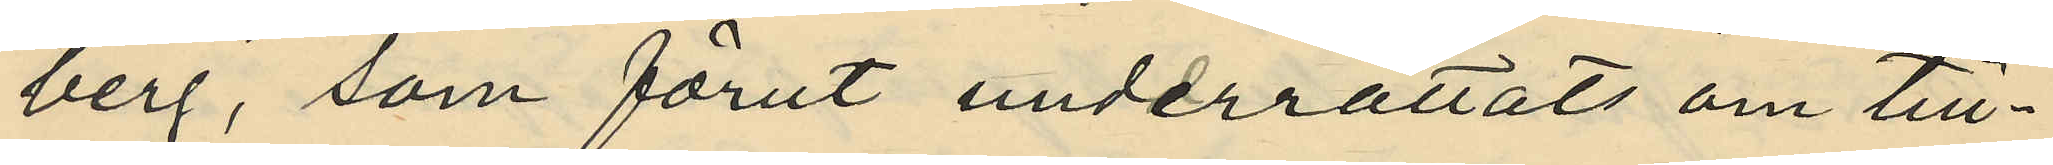berg, som förut underrättats om till¬
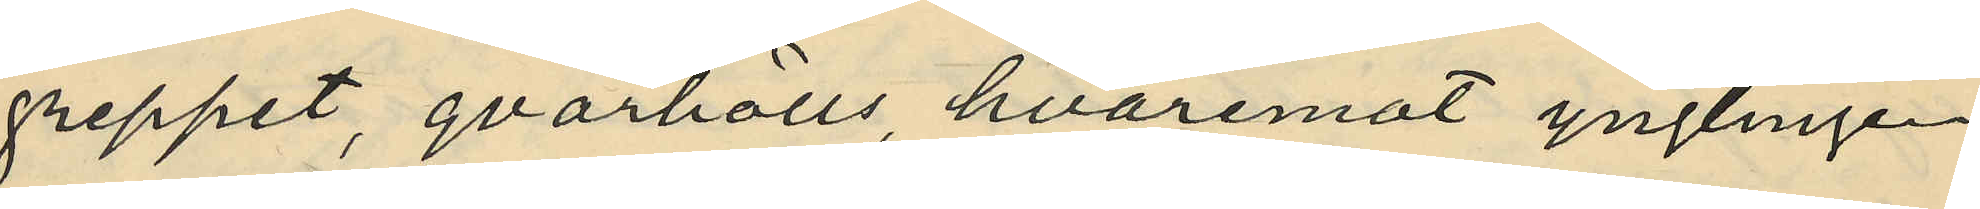greppet, qvarhölls, hvaremot ynglingen
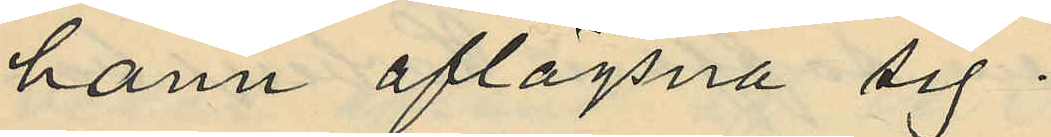hann aflägsna sig.
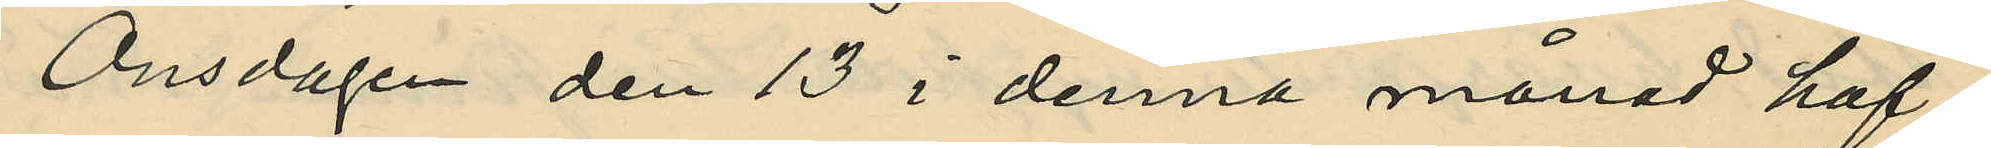Onsdagen den 13 i denna månad haf¬
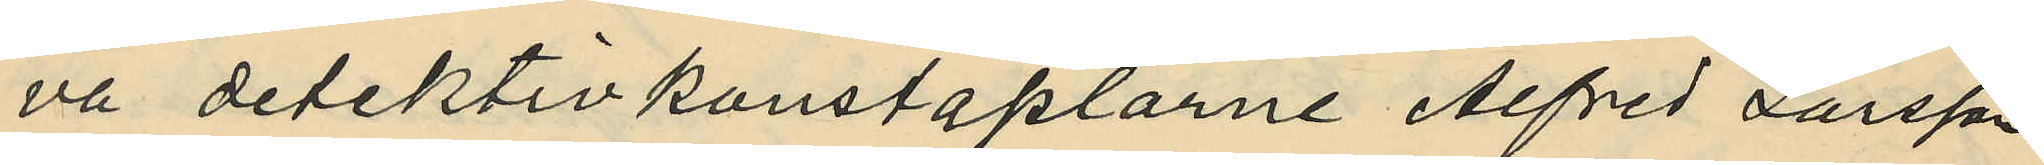va detektivkonstaplarne Alfred Larsson
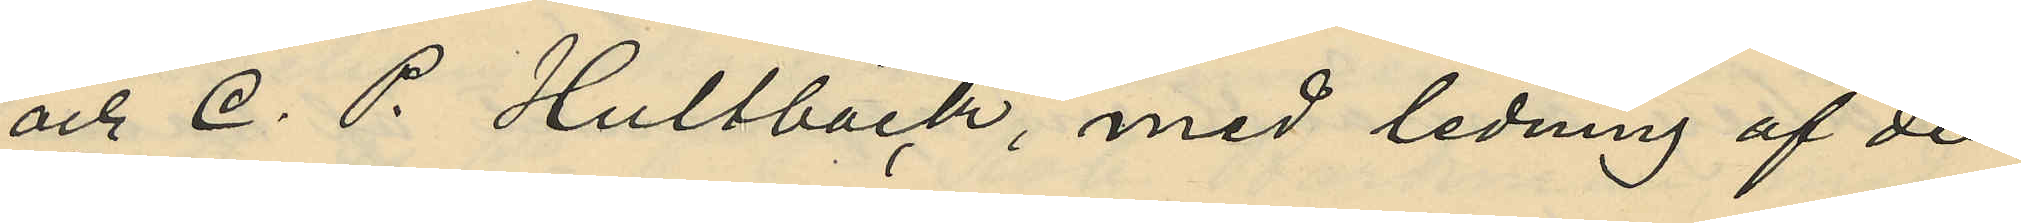och C. P. Hultbäck, med ledning af den
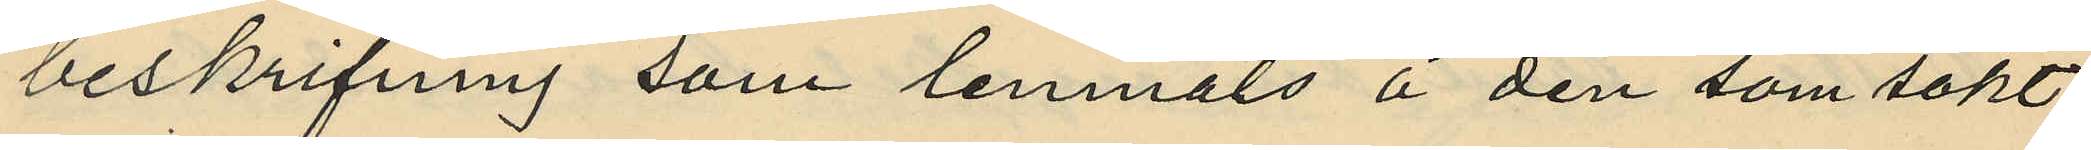beskrifning som lemnats å den som sökt
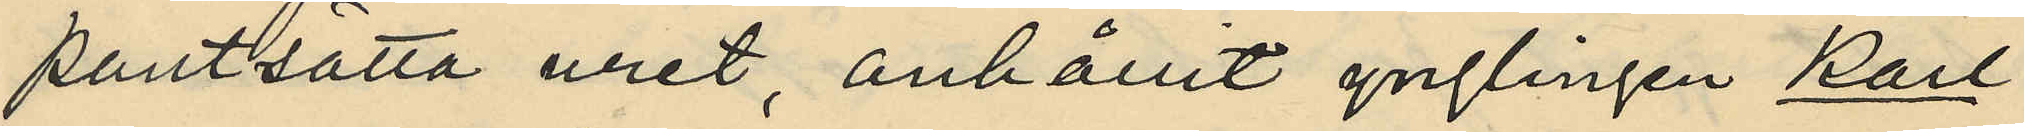pantsätta uret, anhållit ynglingen Karl
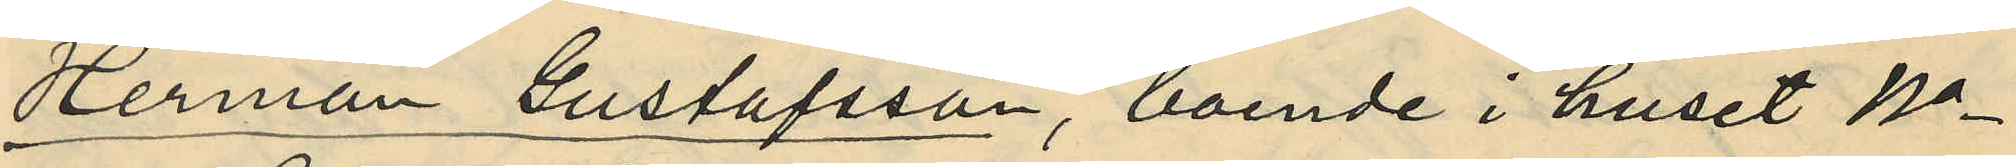Herman Gustafsson, boende i huset No
